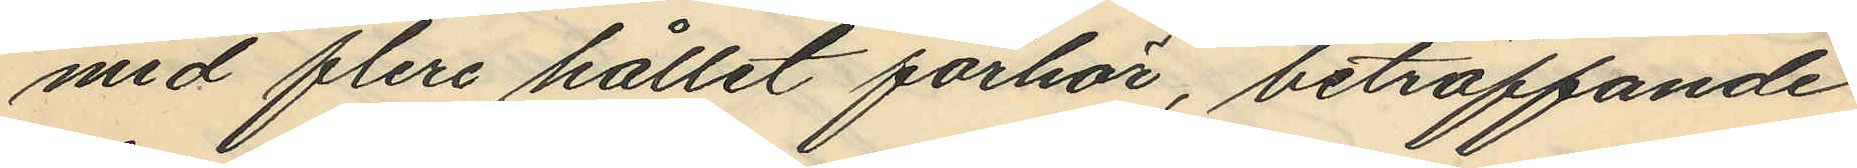med flere hållet förhör, beträffande
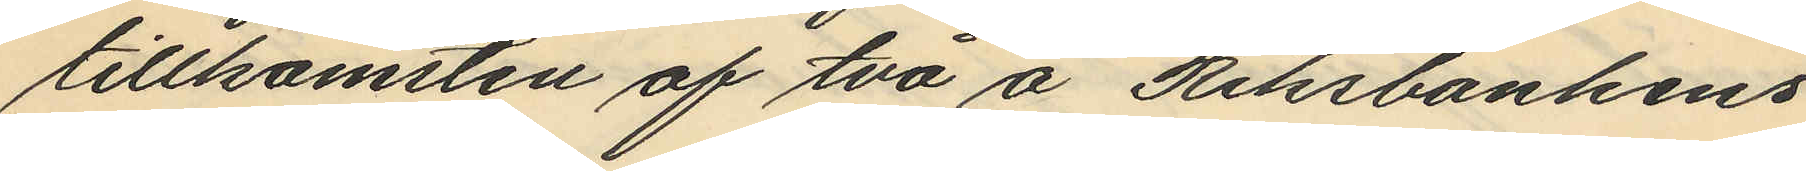tillkomsten af två å Riksbankens
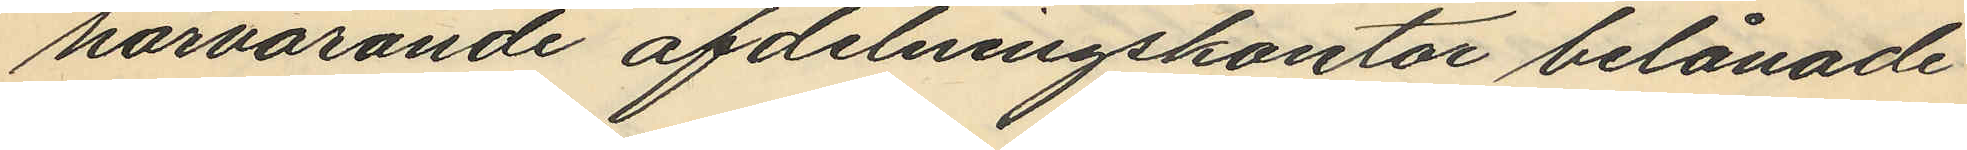härvarande afdelningskontor belånade
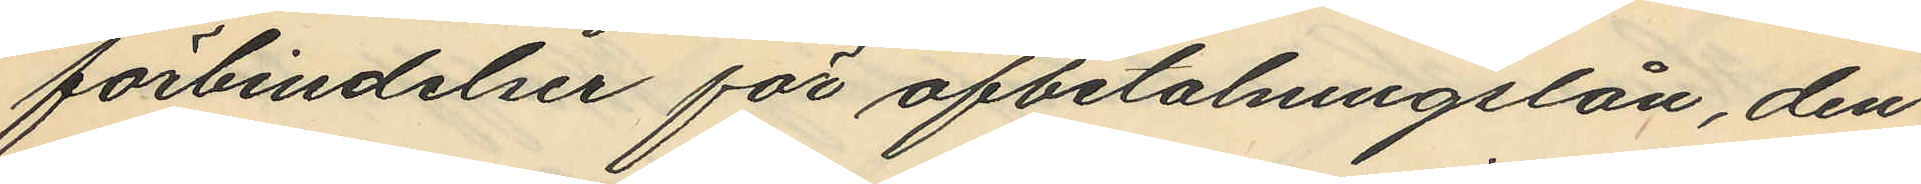förbindelser för afbetalningslån, den
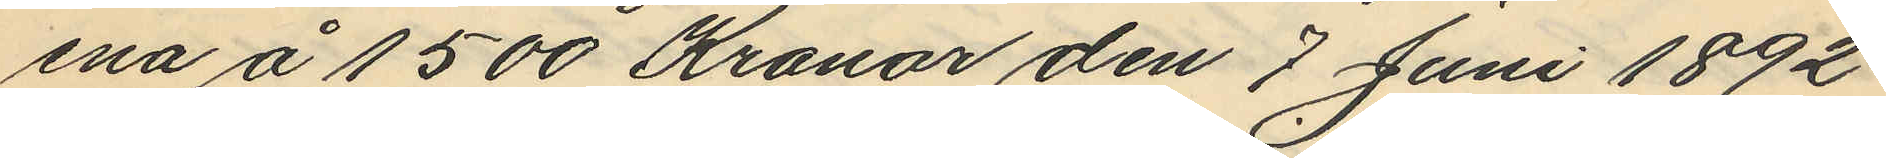ena å 1500 Kronor den 7 Juni 1892
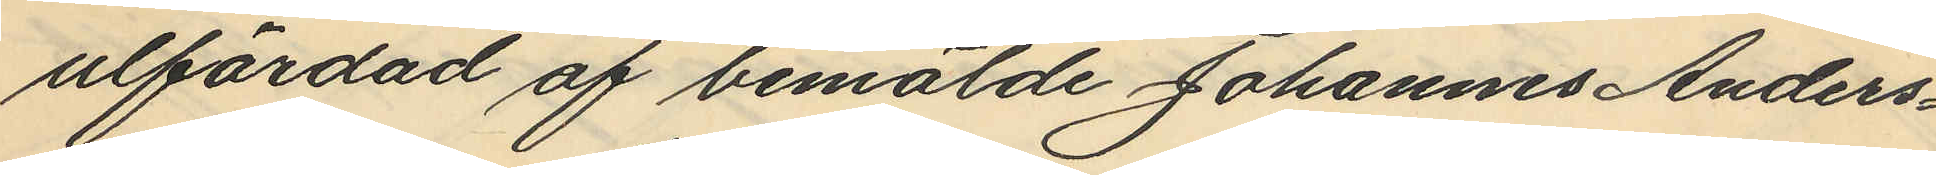utfärdad af bemälde Johannes Anders¬
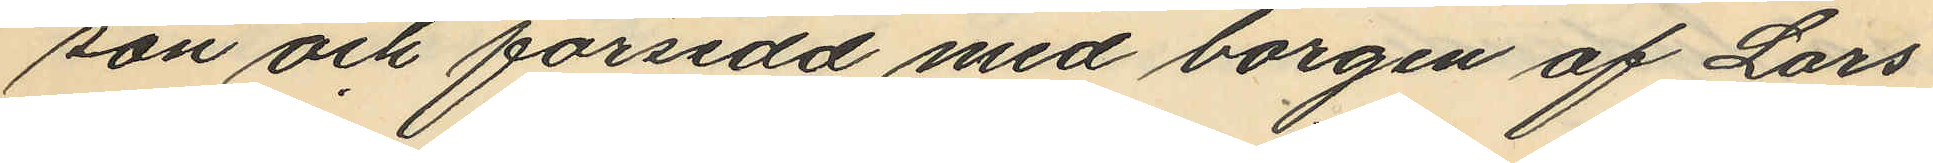son och försedd med borgen af Lars
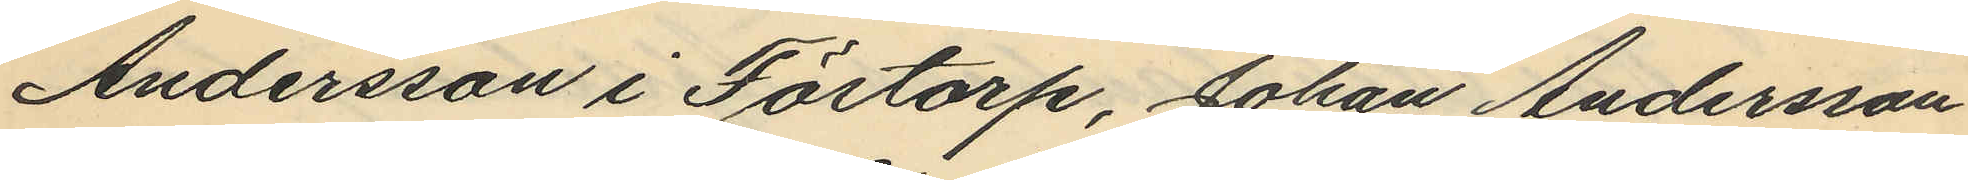Andersson i Förtorp, Johan Andersson
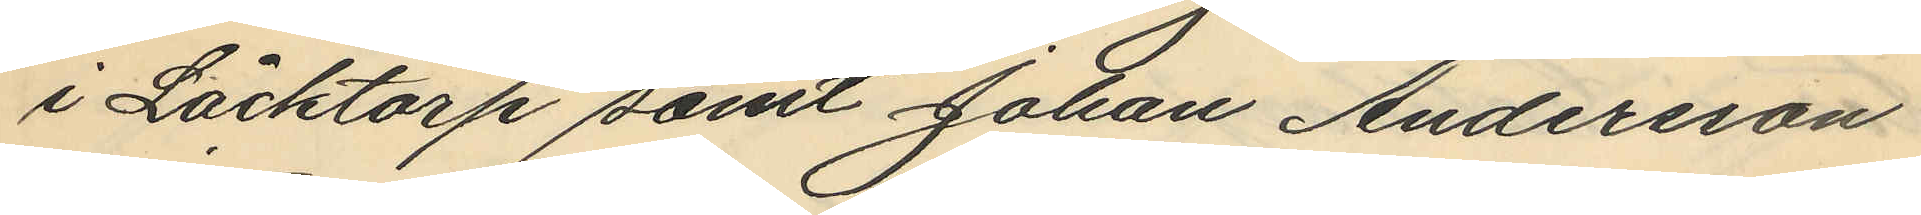i Låcktorp samt Johan Andersson
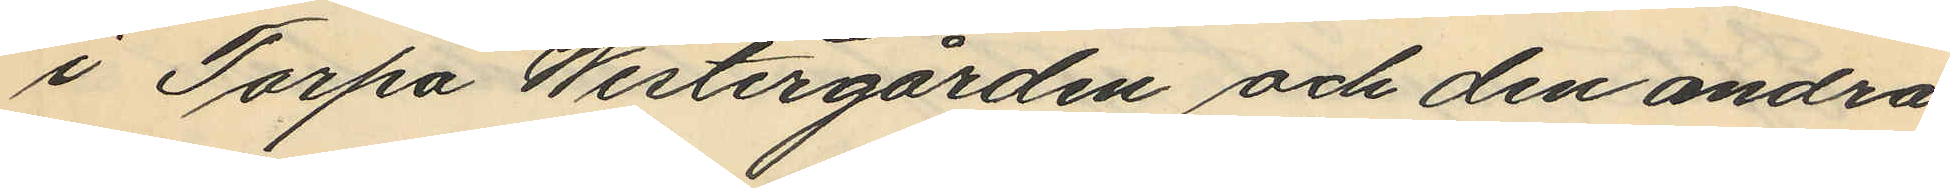i Torpa Westergården och den andra
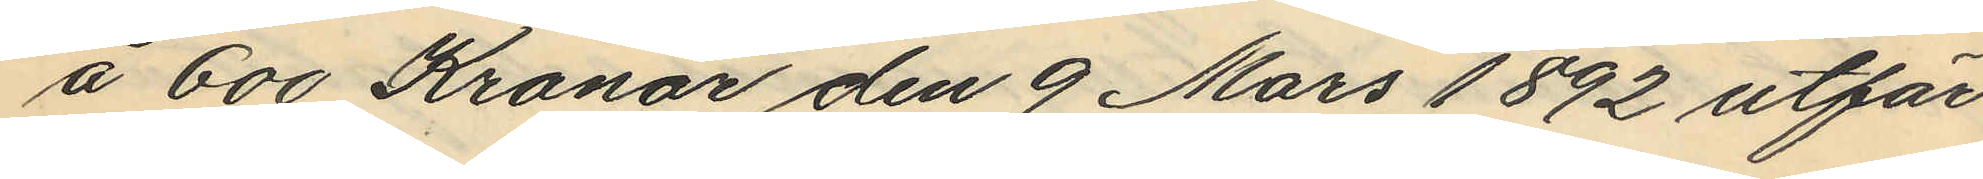å 600 Kronor den 9 Mars 1892 utfär¬
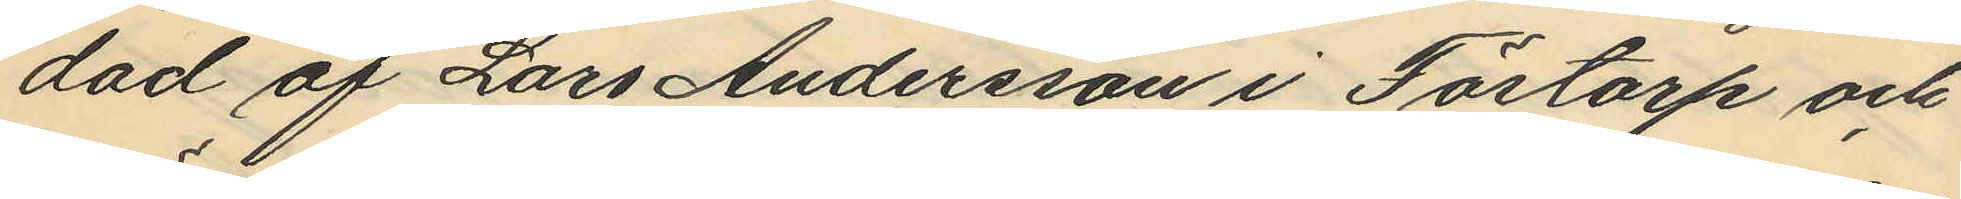dad af Lars Andersson i Förtorp och
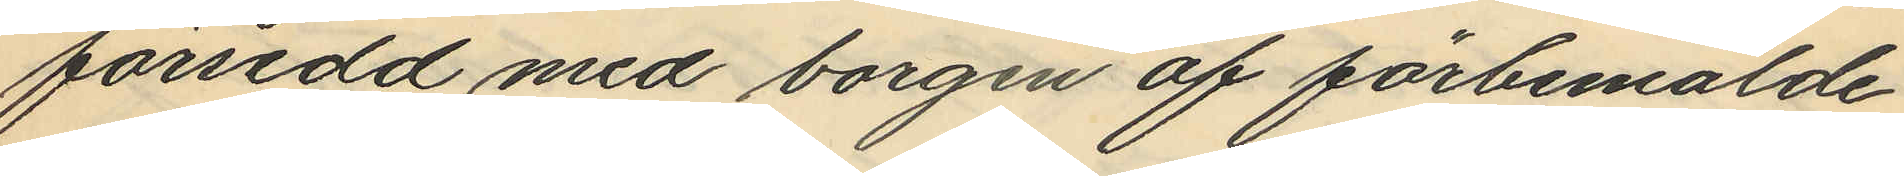försedd med borgen af förbemälde
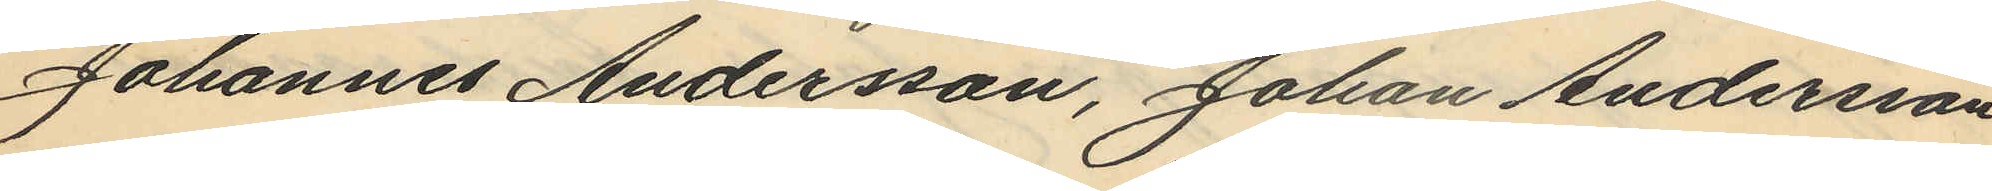Johannes Andersson, Johan Andersson
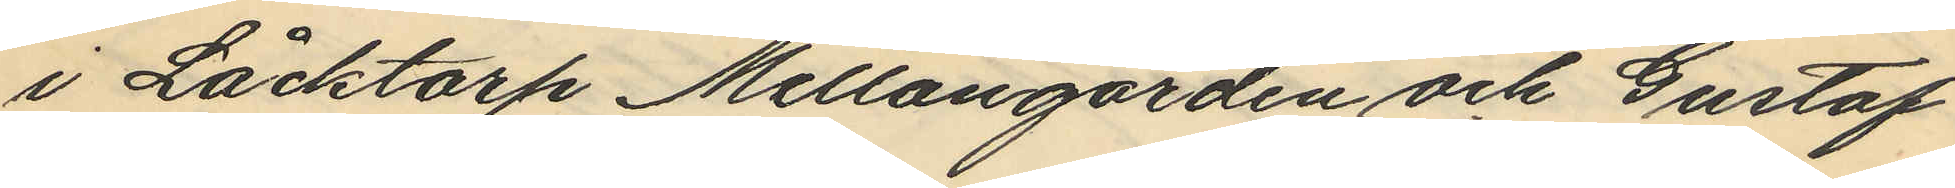i Låcktorp Mellangården och Gustaf
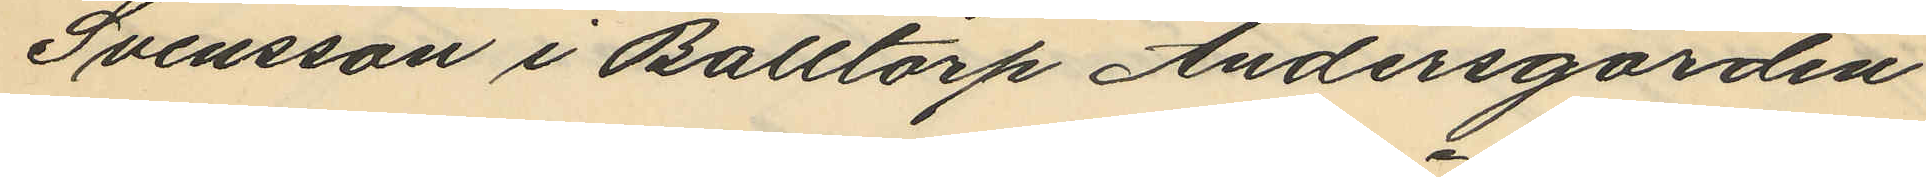Svensson i Balltorp Andersgården
